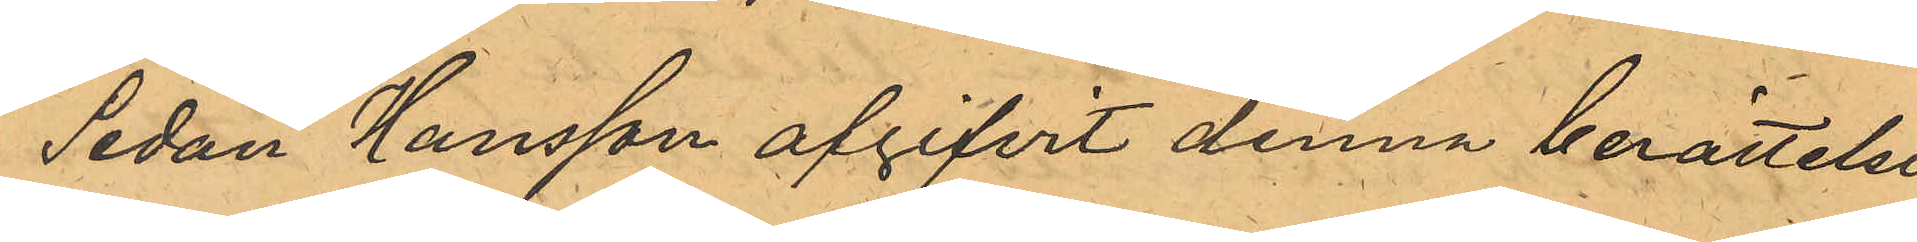Sedan Hansson afgifvit denna berättelse,
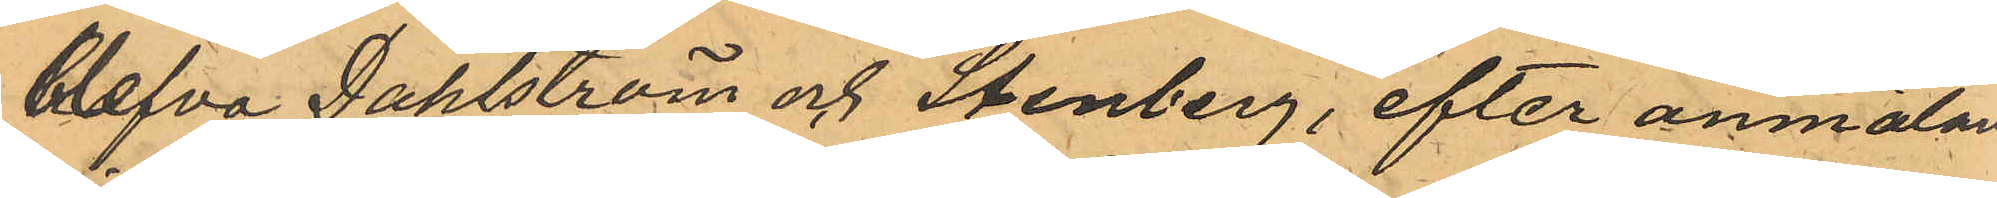blefvo Dahlström och Stenberg, efter anmälan
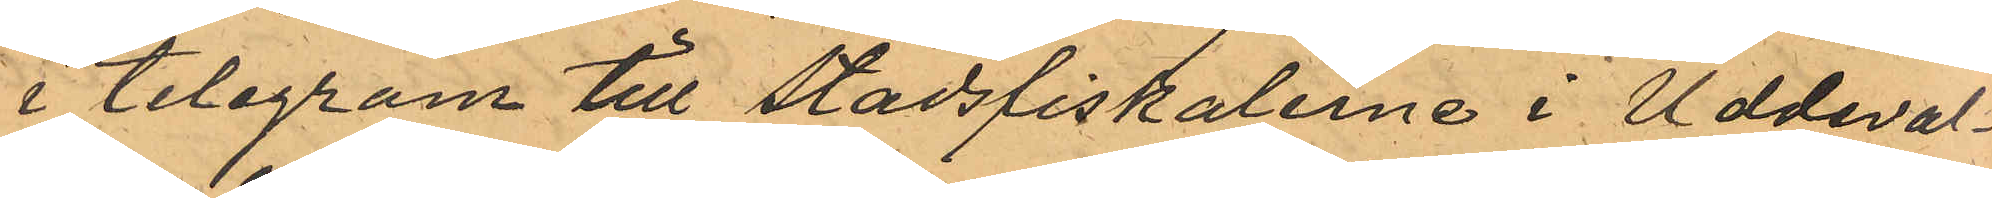i telegram till Stadsfiskalerne i Uddeval¬
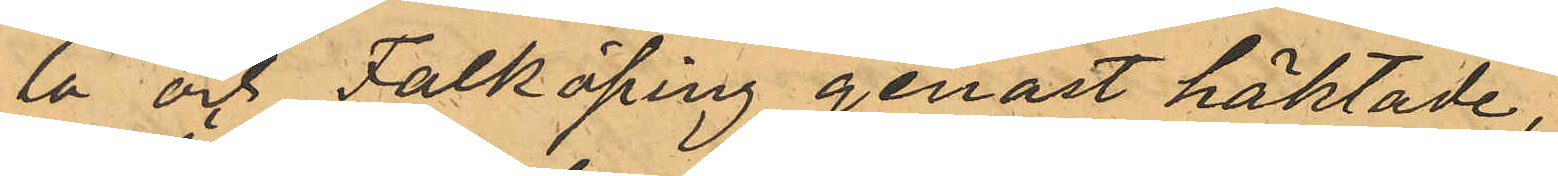la och Falköping genast häktade,
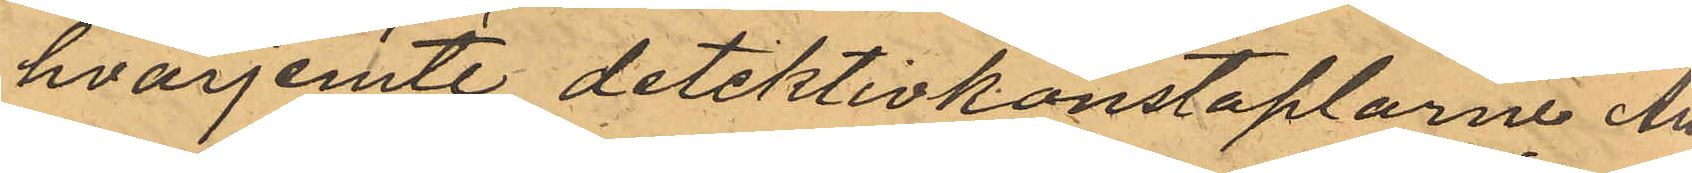hvarjemte detektivkonstaplarne An¬
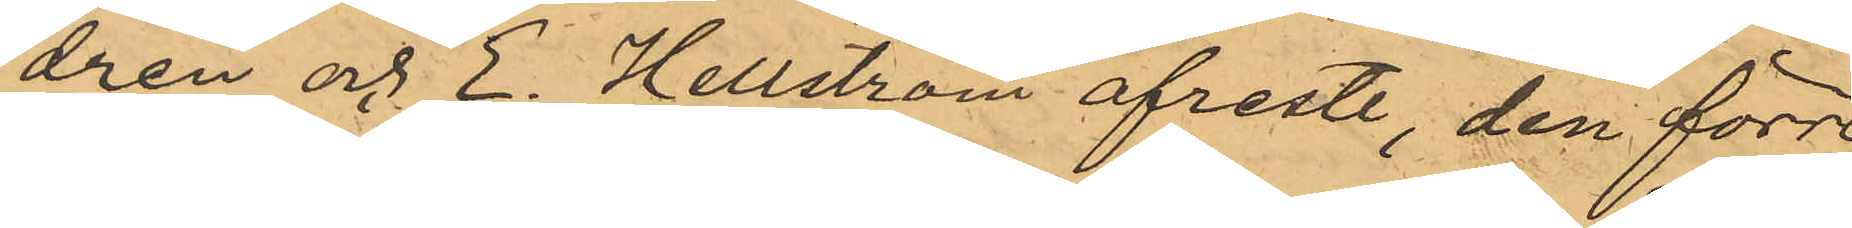drén och E. Hellström afreste, den förre
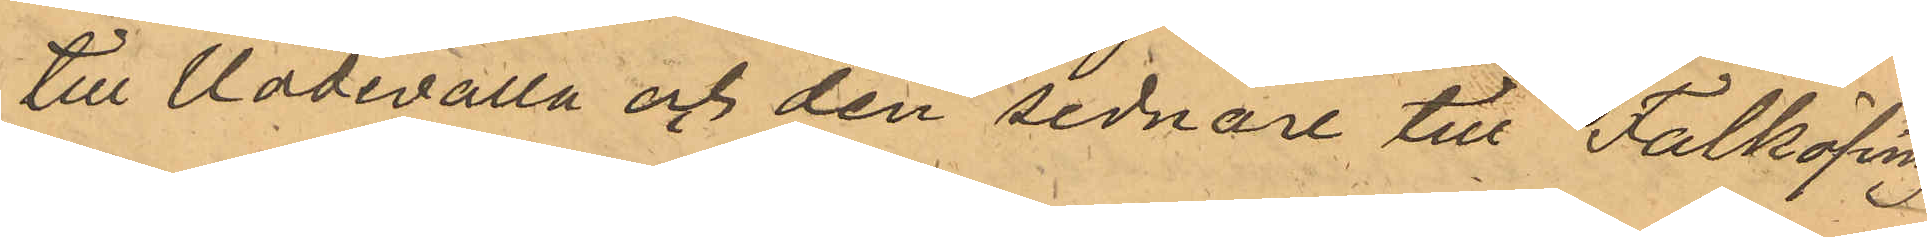till Uddevalla och den sednare till Falköping
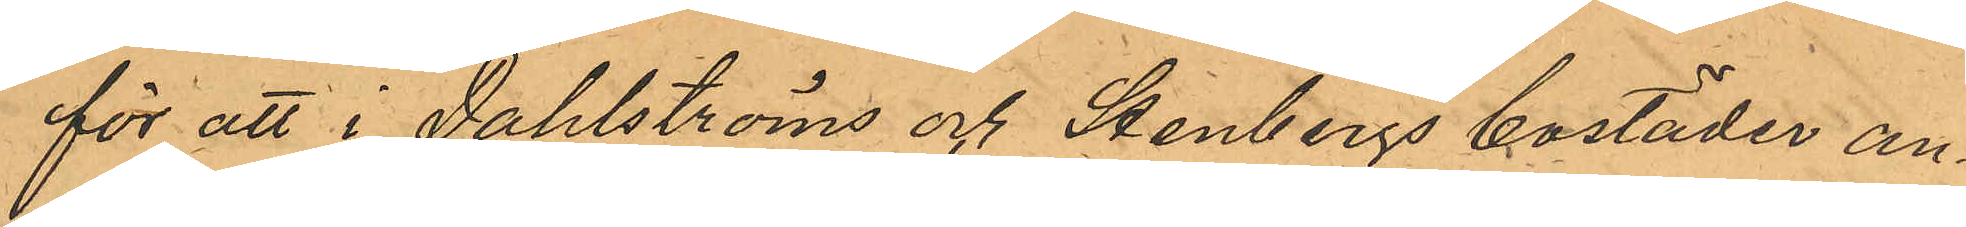för att i Dahlströms och Stenbergs bostäder an¬
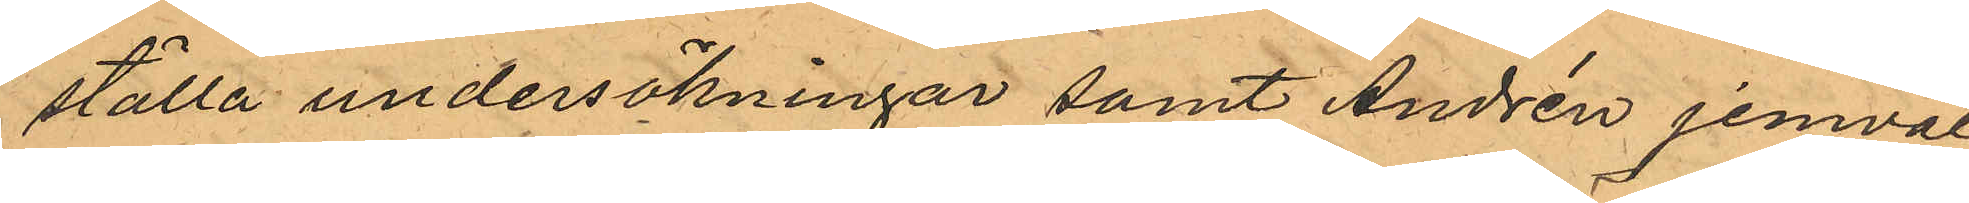ställa undersökningar samt Andrén jemväl
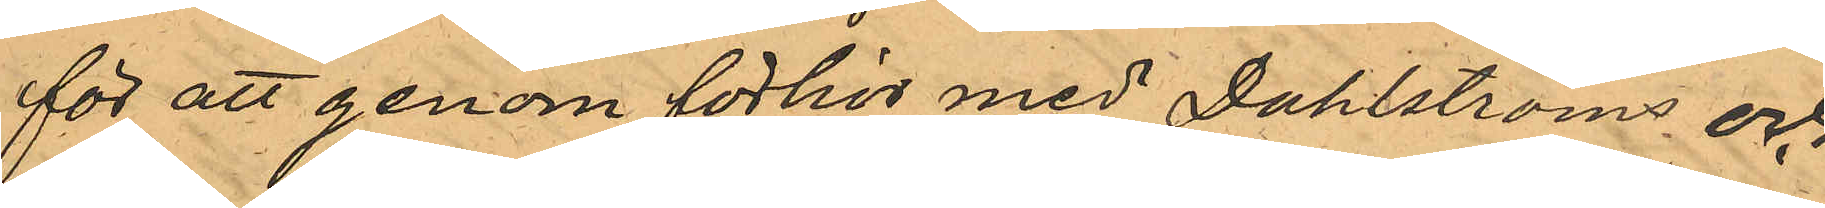för att genom förhör med Dahlströms och
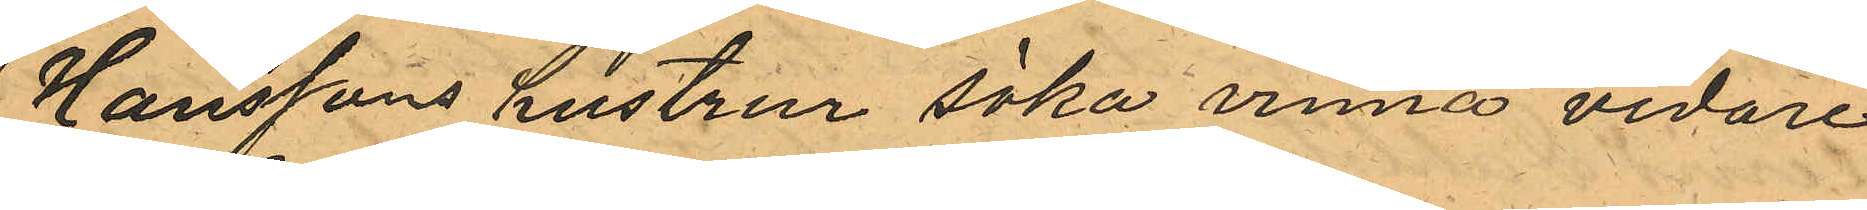Hanssons hustrur söka vinna vidare
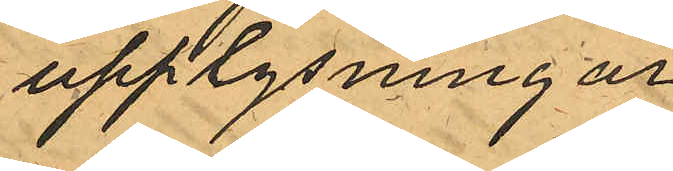upplysningar.
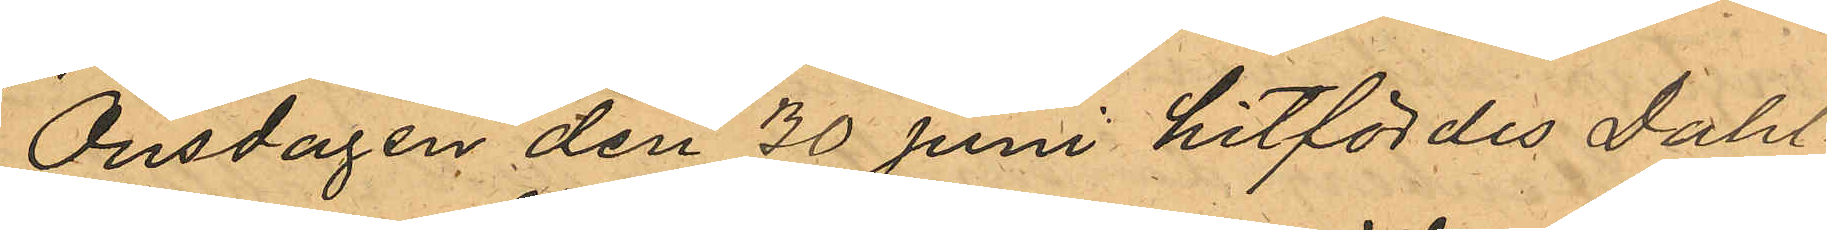Onsdagen den 30 juni hitfördes Dahl¬
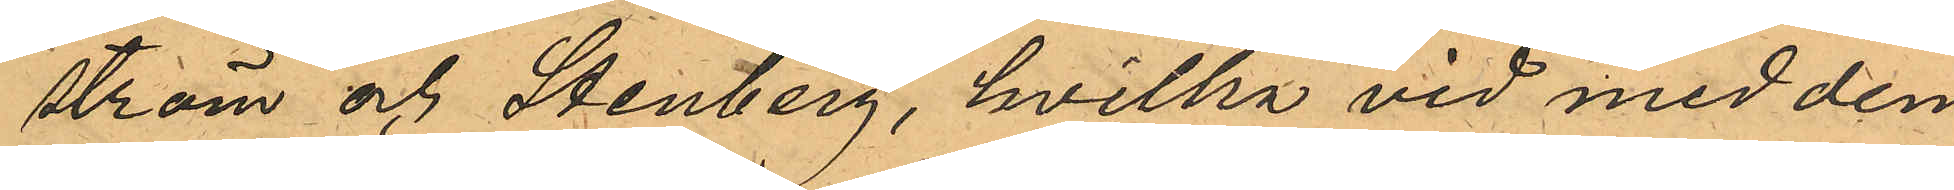ström och Stenberg, hvilka vid med dem
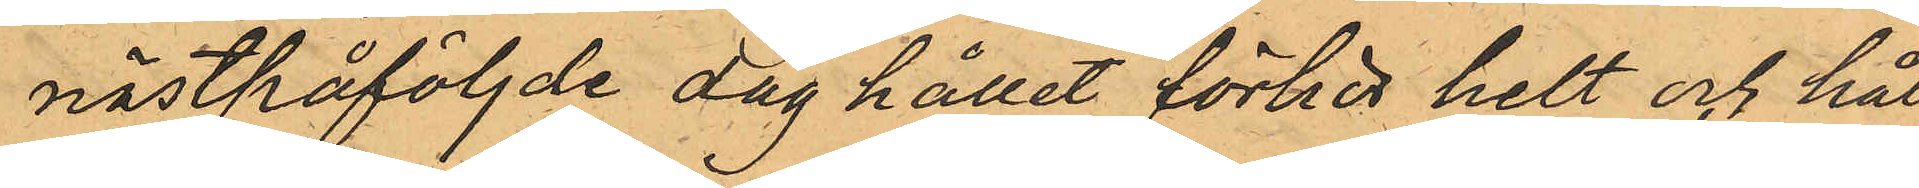nästpåföljde dag hållet förhör helt och hål¬
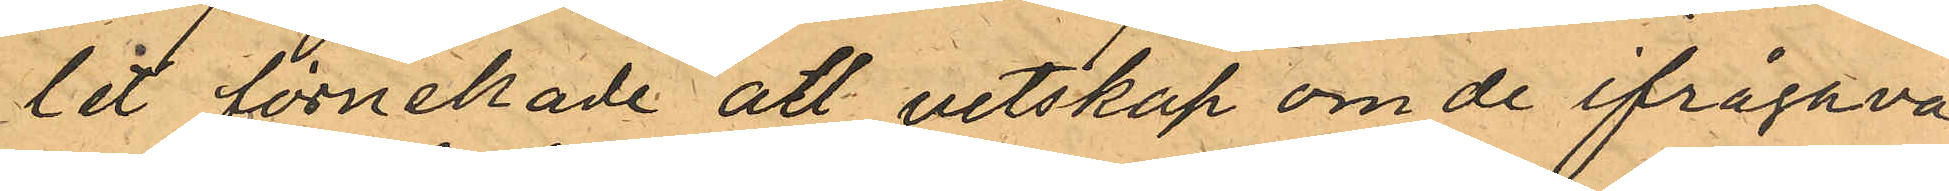lit förnekade att vetskap om de ifrågava¬
